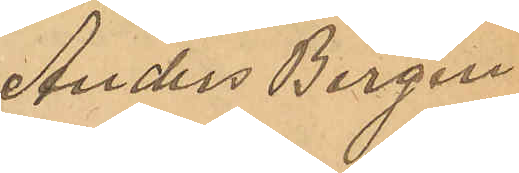Anders Bergen¬
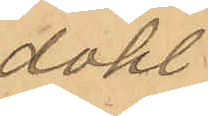dahl.
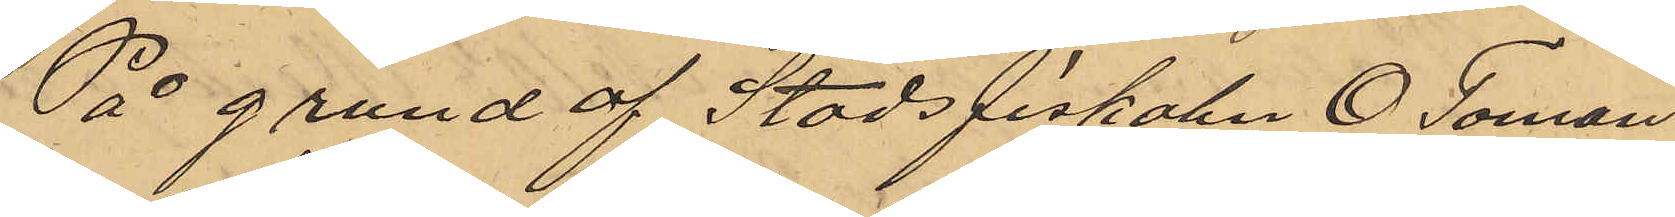På grund af Stadsfiskalen E. Toman¬
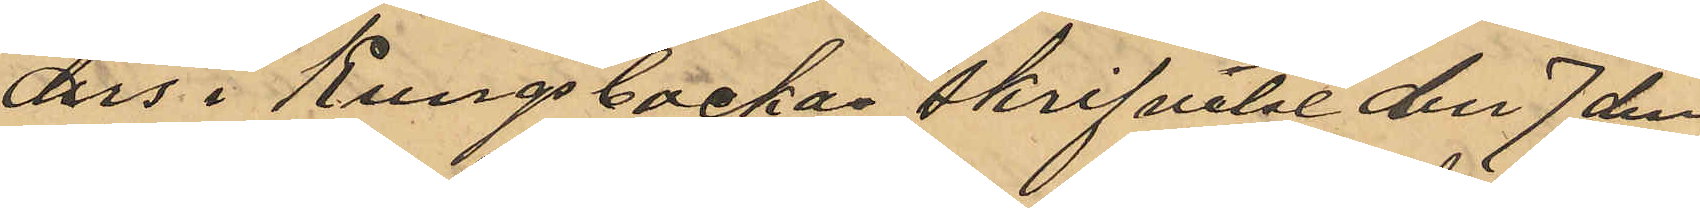ders i Kungsbackas skrifvelse den 7 den¬
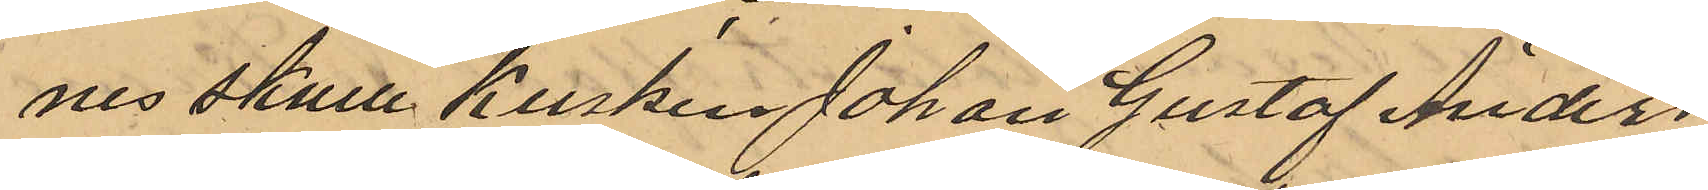nes skulle Kusken Johan Gustaf Anders¬
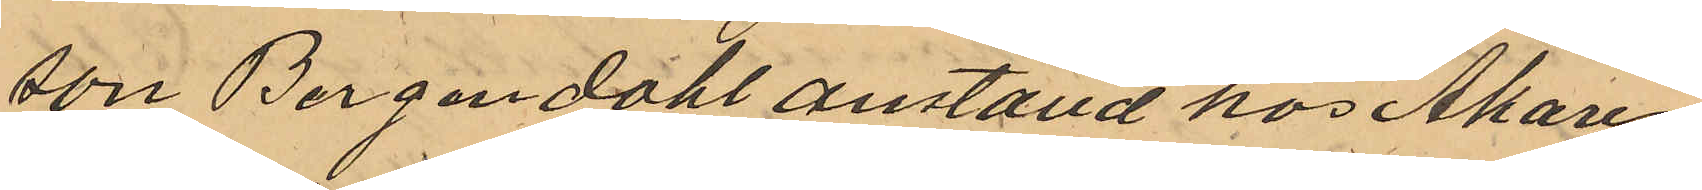son Bergendahl anstäld hos Åkaren
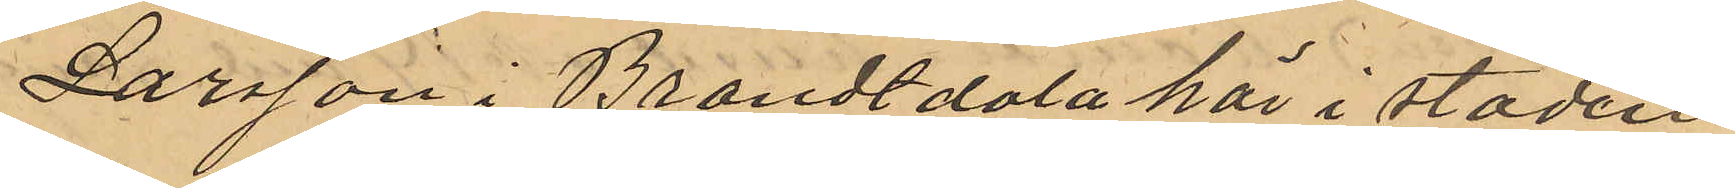Larsson i Brandtdala här i staden
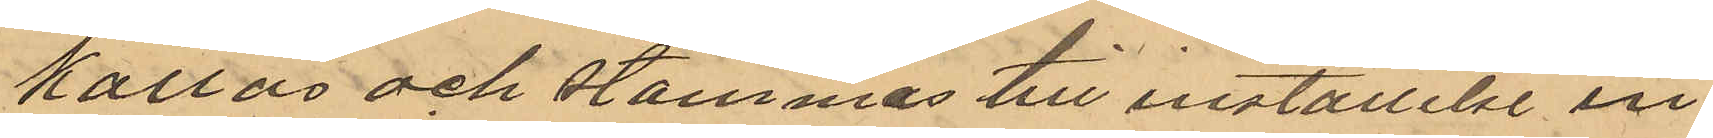kallas och stämmas till inställelse in¬
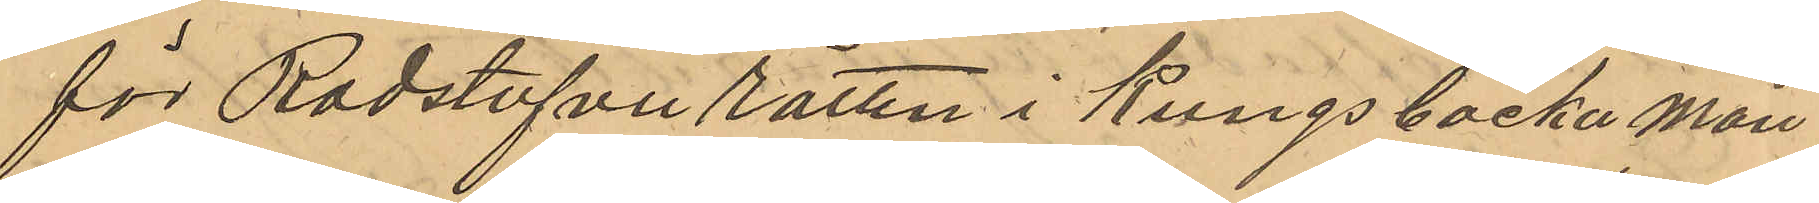för Rådstufvu rätten i Kungsbacka mån¬
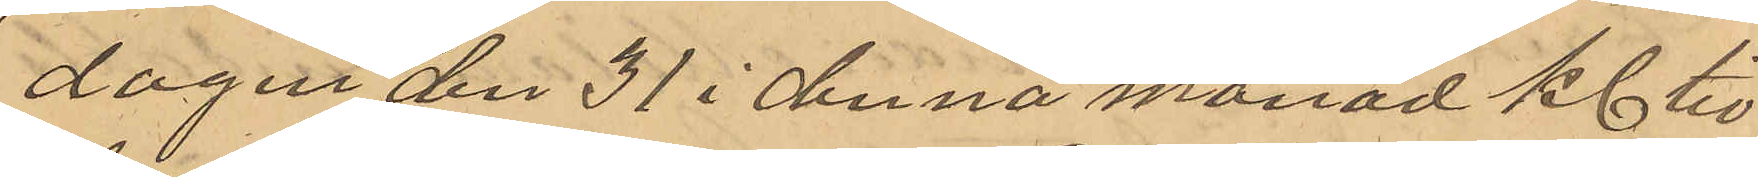dagen den 31 i denna månad Kl tio
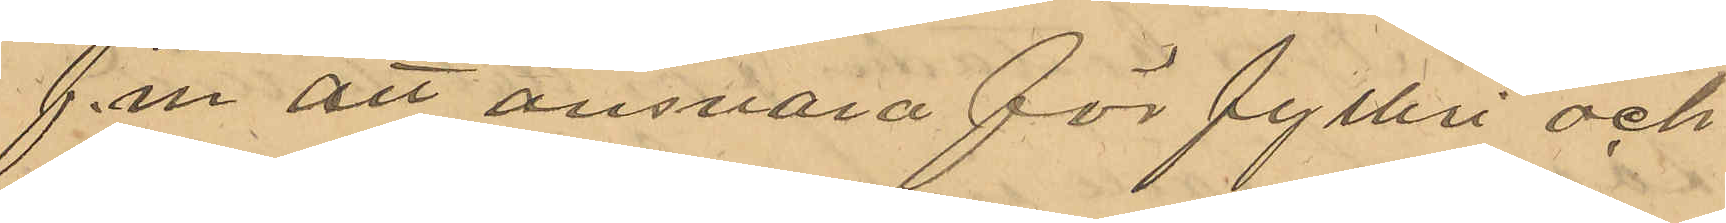f. m att ansvara för fylteri och
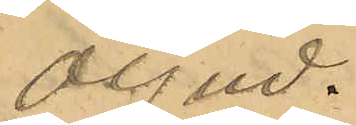oljud.
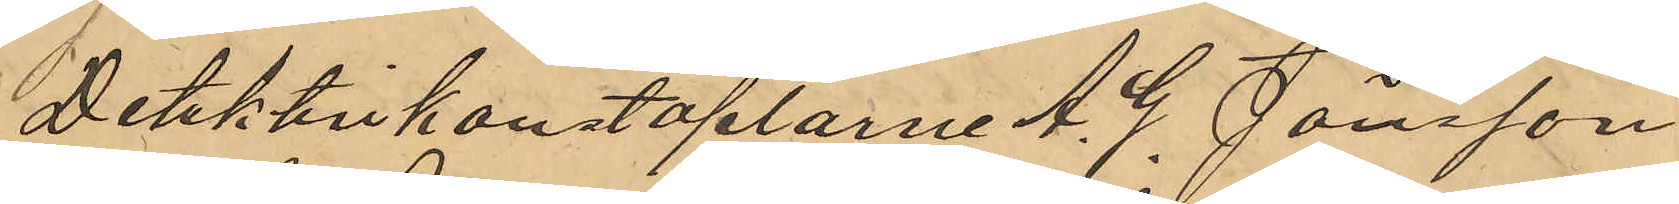Detektivkonstaplarne A. G. Jönsson
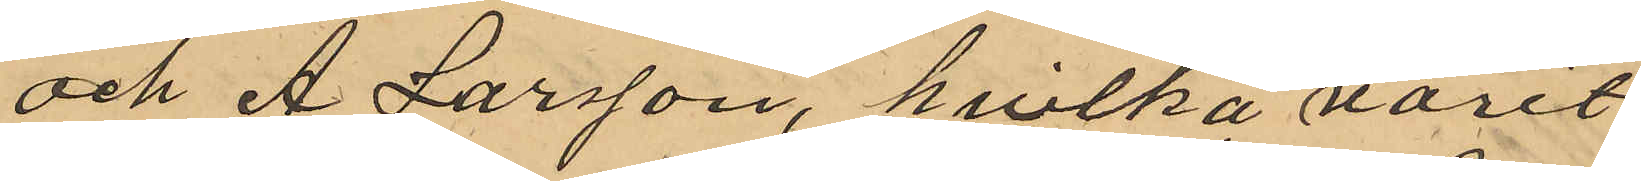och A. Larsson, hvilka varit
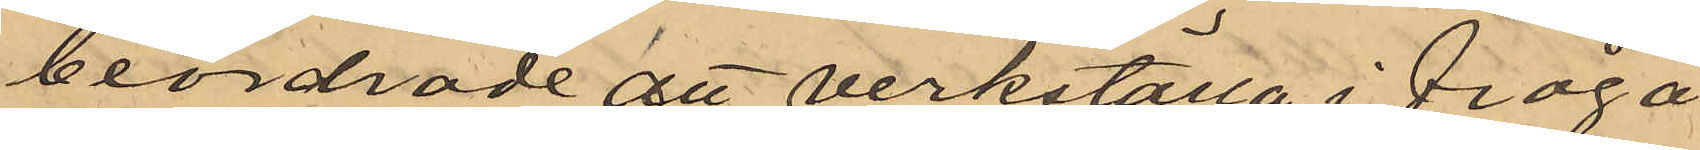beordrade att verkställa i fråga
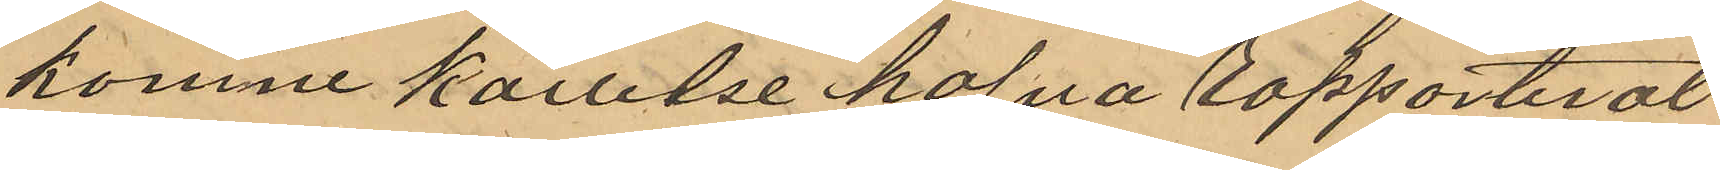komne kallelse hafva rapporterat
